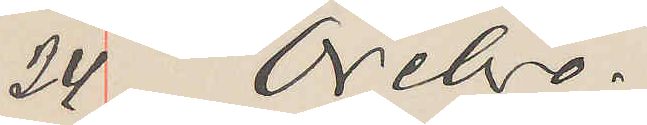24 Örebro.
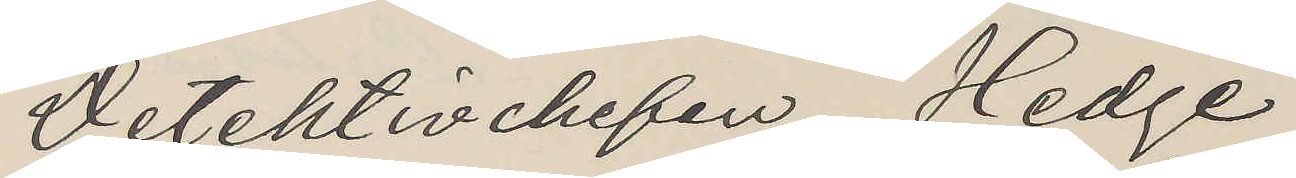Detektivehefen Hedge
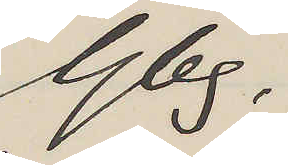Gbg.
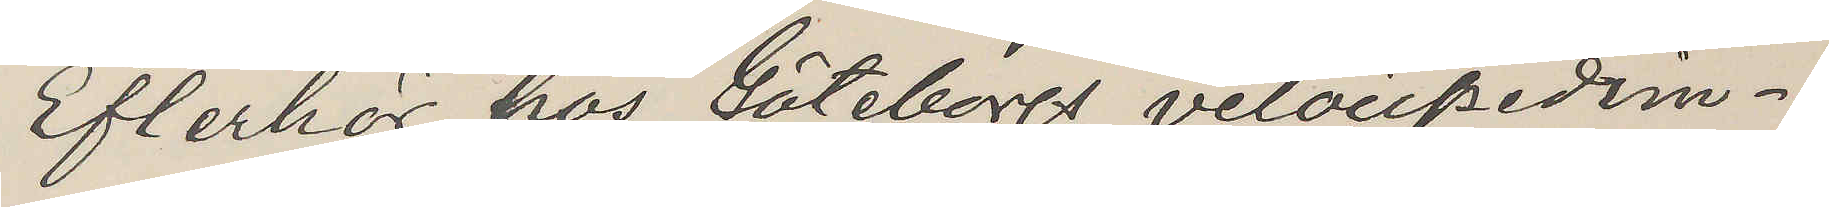Efterhör hos Göteborgs velocipedim¬
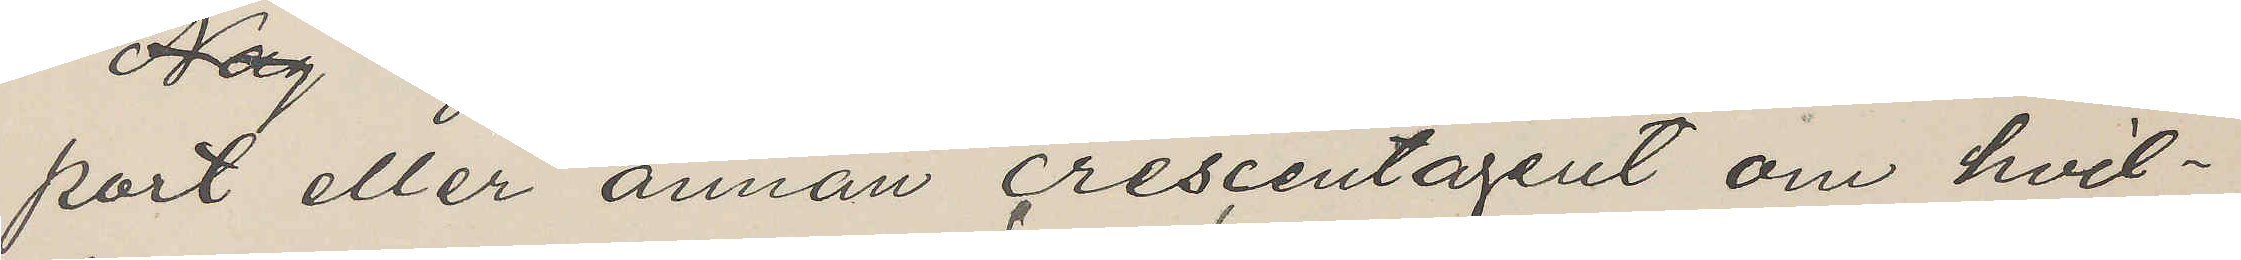port eller annan crescentagent om hvil¬
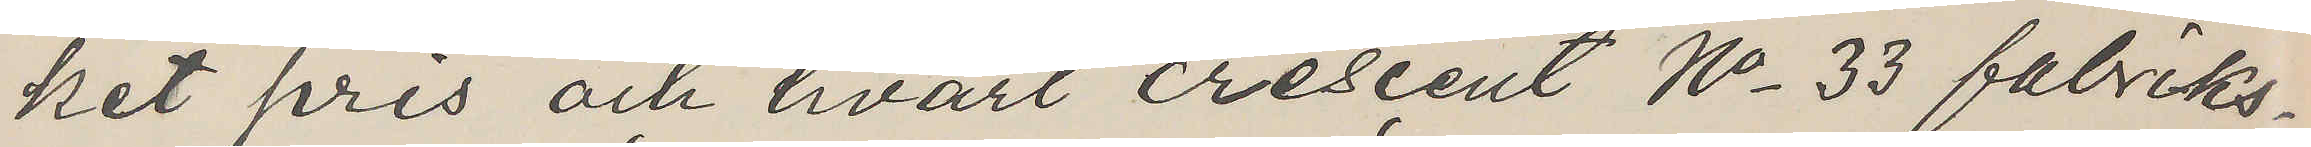ket pris och hvart crescent No 33 fabriks¬
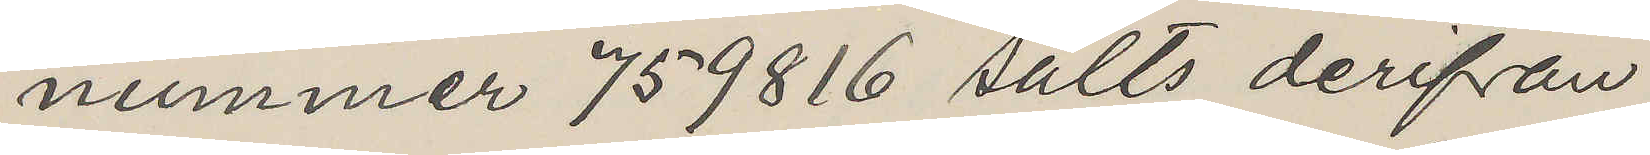nummer 759816 sålts derifrån
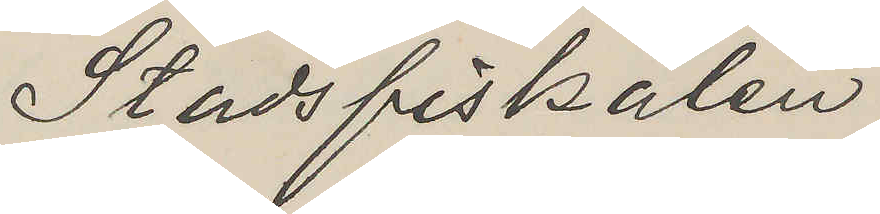Stadsfiskalen
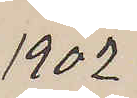1902
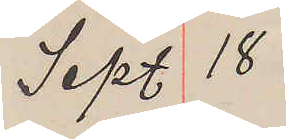Sept. 18
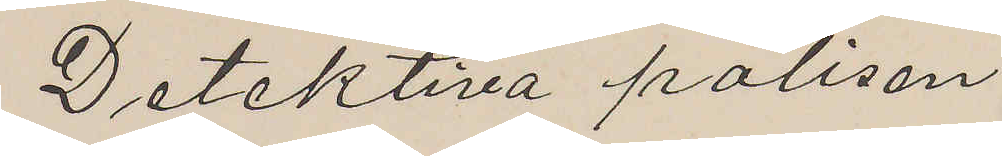Detektiva polisen
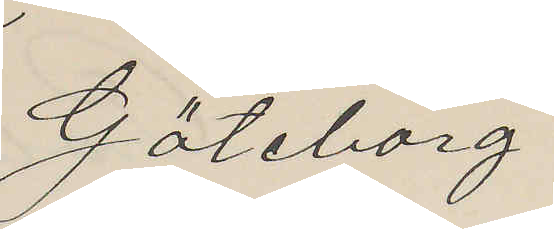Göteborg
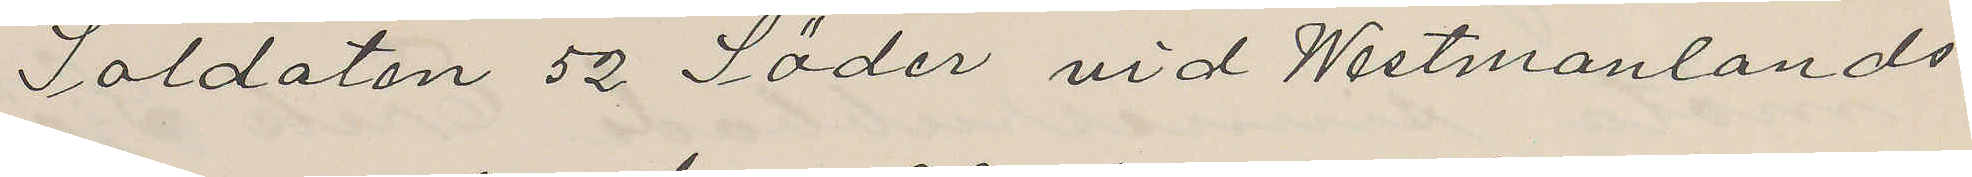Soldaten 52 Söder vid Westmanlands
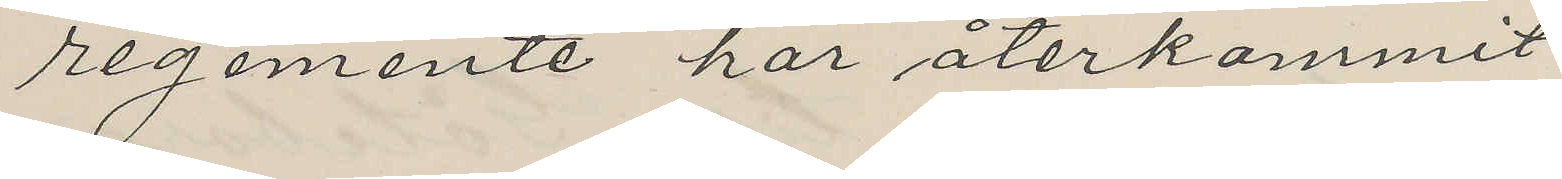regemente har återkommit
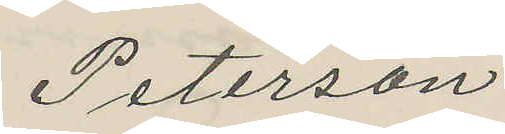Peterson
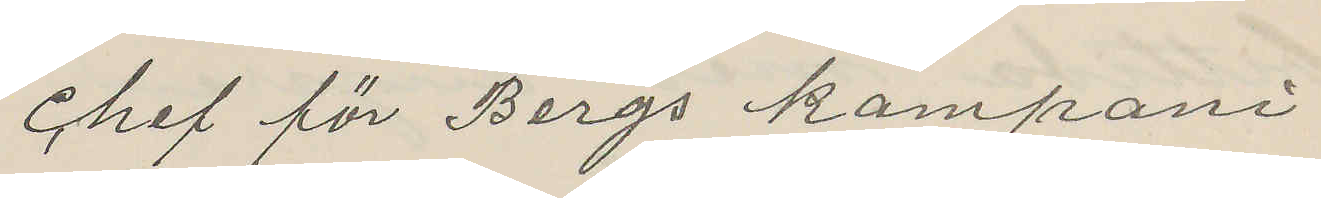chef för Bergs kompani
